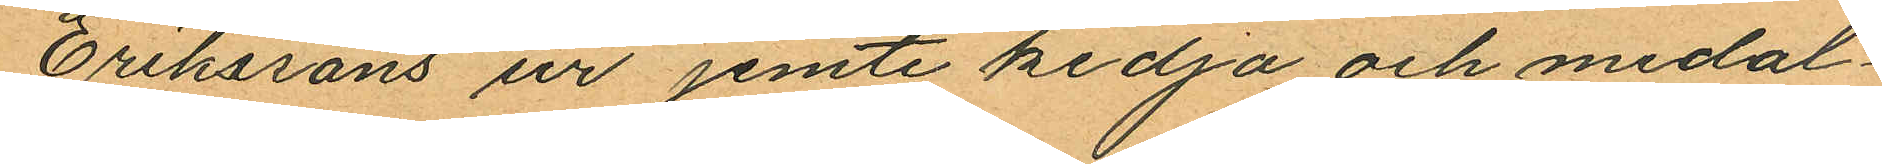Erikssons ur jemte kedja och medal¬
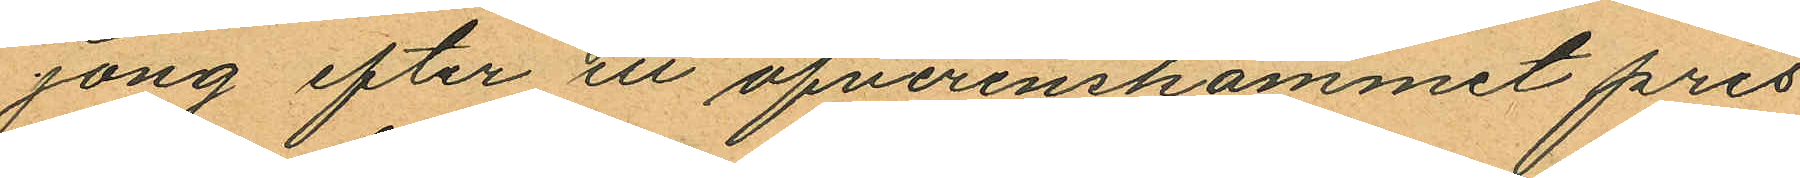jong efter ett öfverenskommit pris
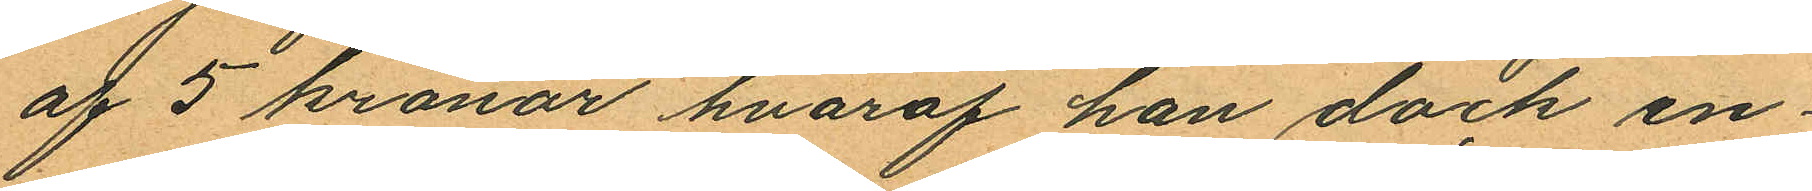af 5 kronor hvaraf han dock en¬
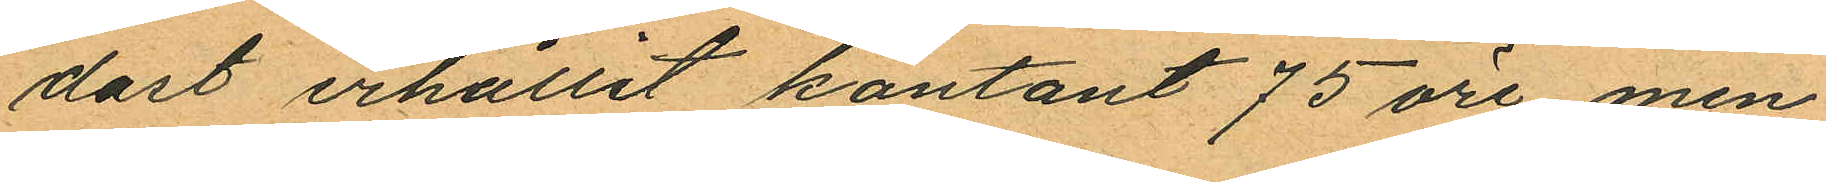dåst erhållit kontant 75 öre, men
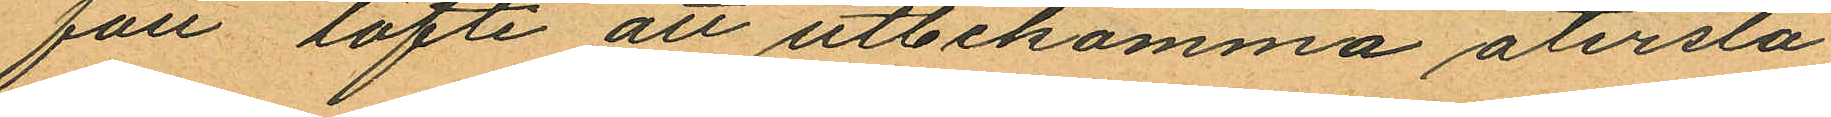fått löfte att utbekomma återstå¬
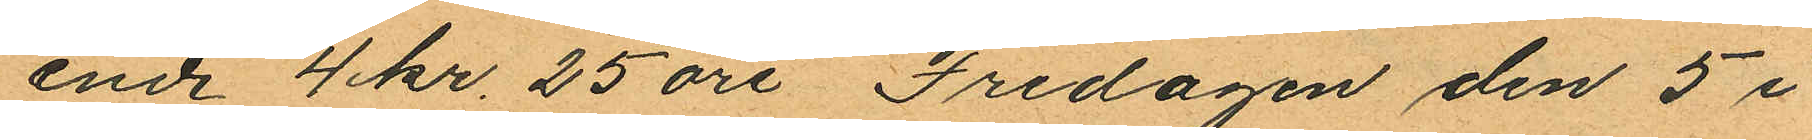ende 4 kr. 25 öre Fredagen den 5 i
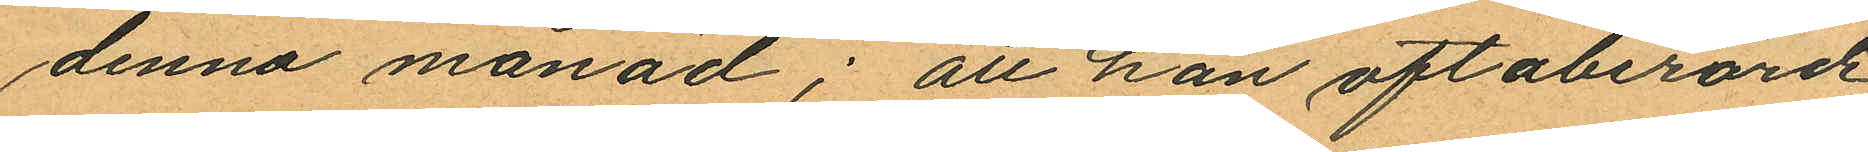denna månad; att han oftaberörde
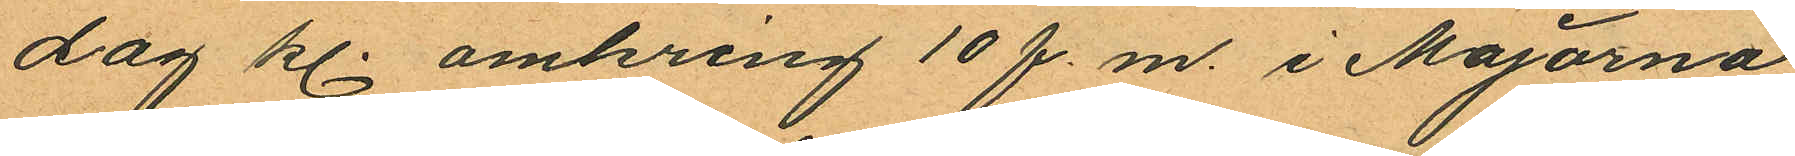dag kl. omkring 10 f.m. i Majorna
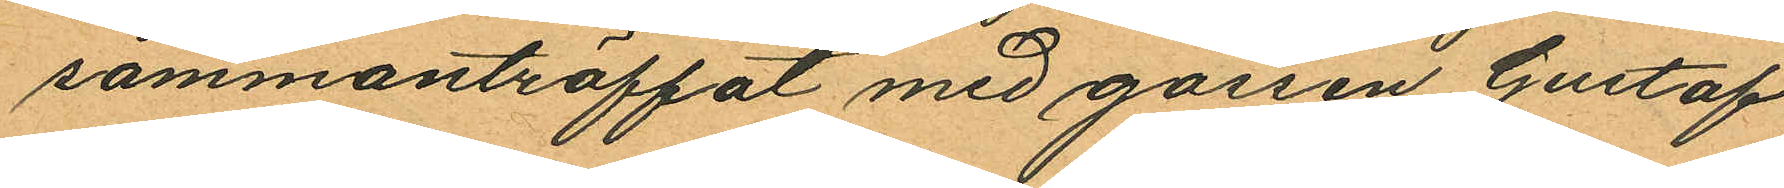sammanträffat med gossen Gustaf
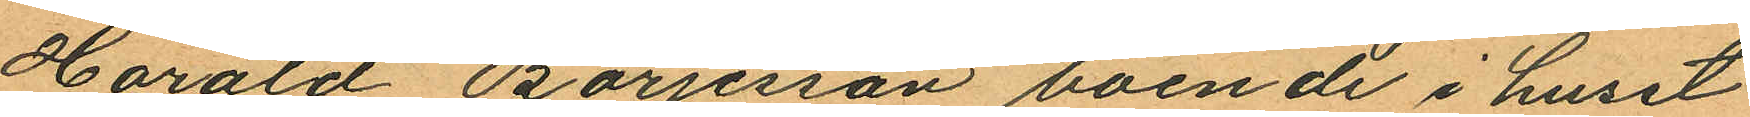Harald Börjesson boende i huset
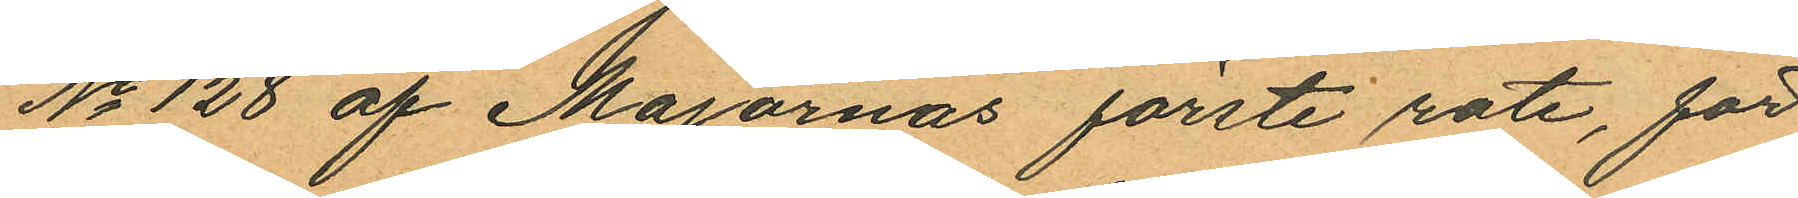No 128 af Majornas förste rote, för
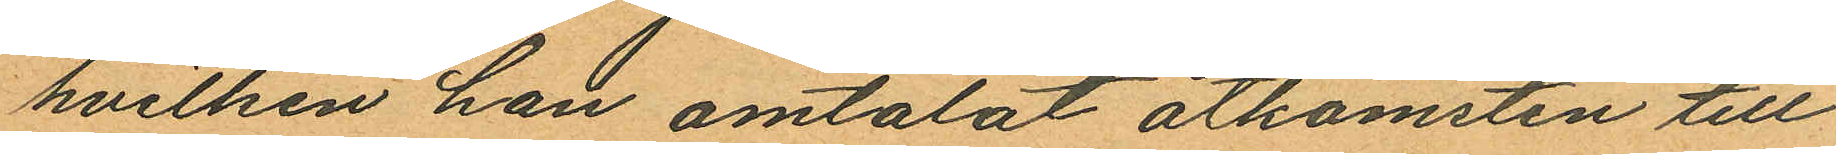hvilken han omtalat åtkomsten till
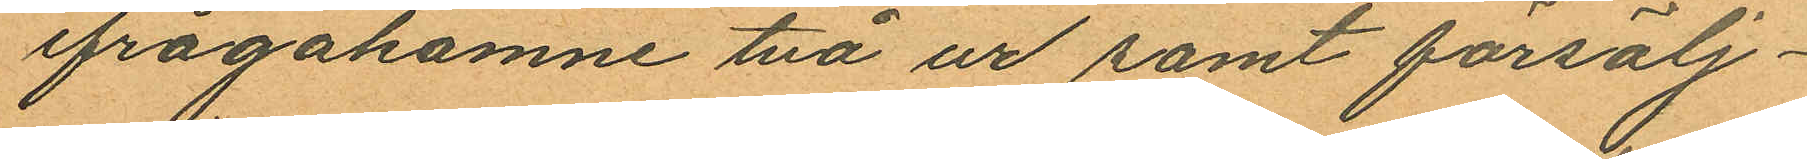ifrågakomne två ur samt försälj¬
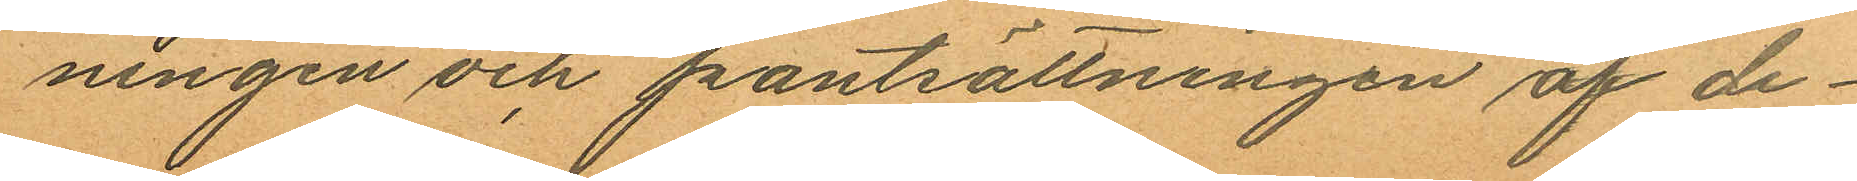ningen och pantsättningen af de¬
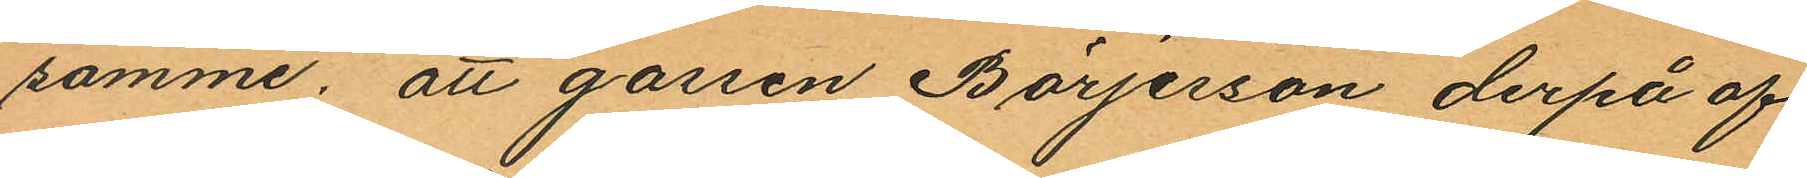samme, att gossen Börjesson derpå af
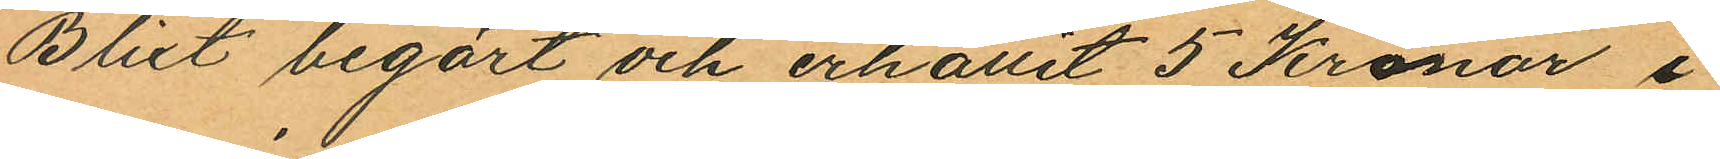Blixt begärt och erhållit 5 Kronor i
